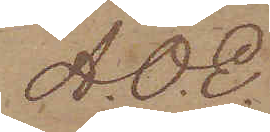A. O. E.
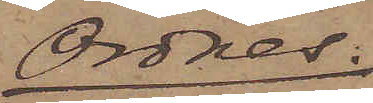Ordres.
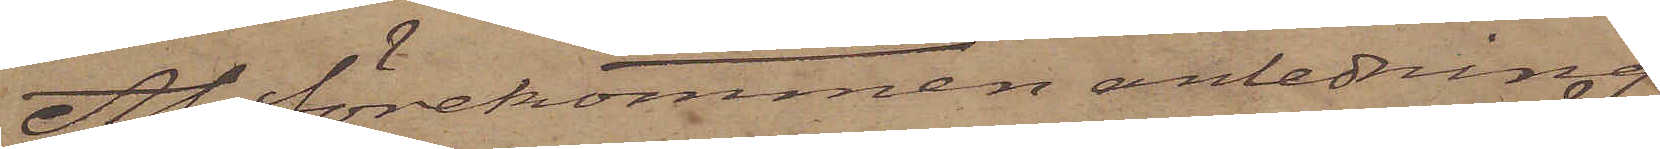Af förekommen anledning
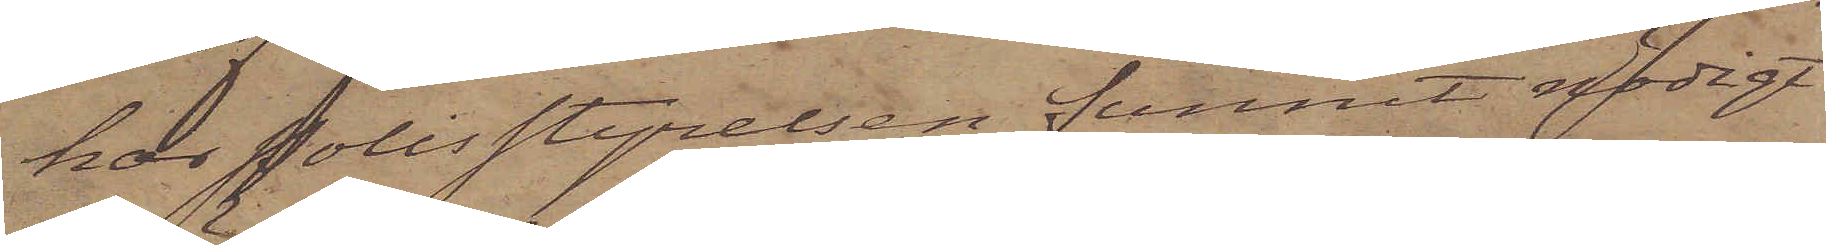har Polisstyrelsen funnit nödigt
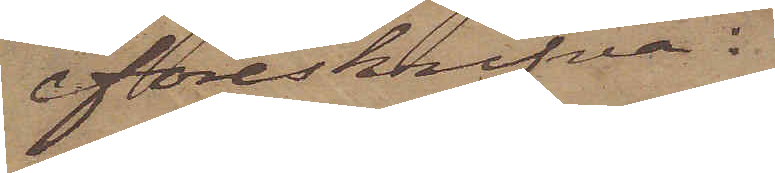föreskrifva:
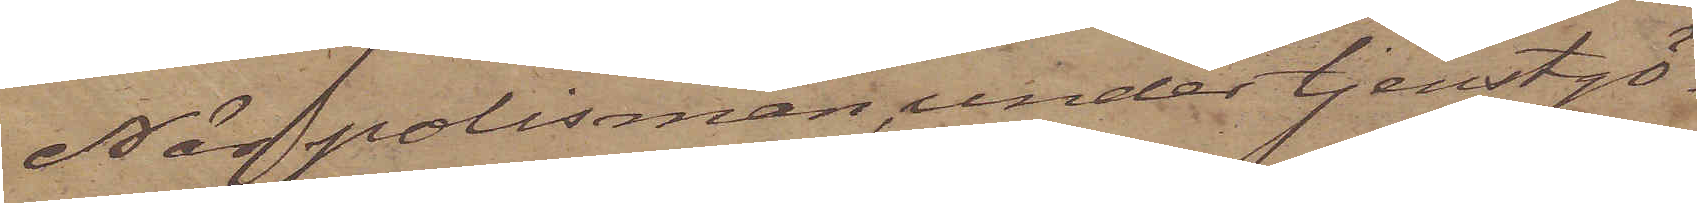När polisman, under tjenstgö¬
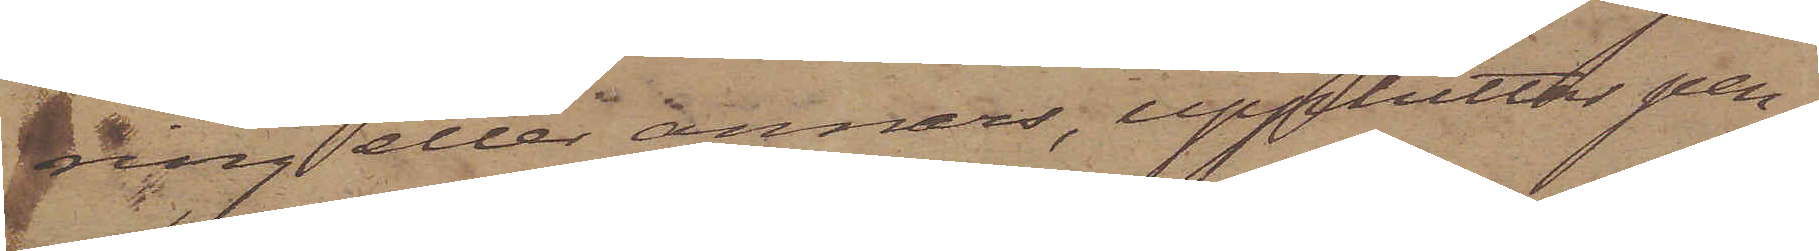ning eller annars, upphittar pen¬
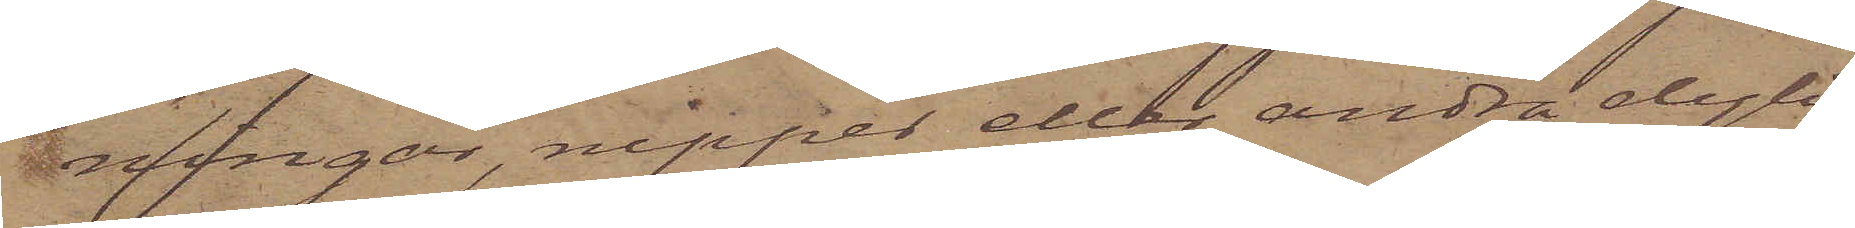ningar, nipper eller andra dyli¬
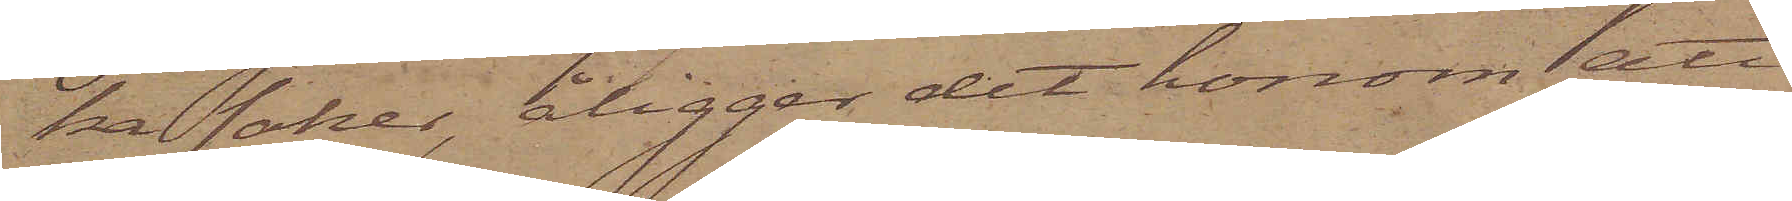ka saker, åligger det honom att
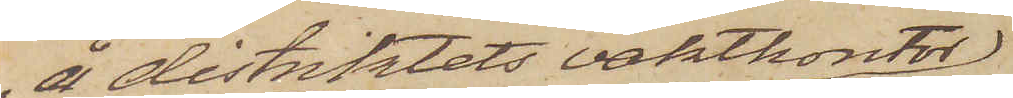å distriktets vaktkontor
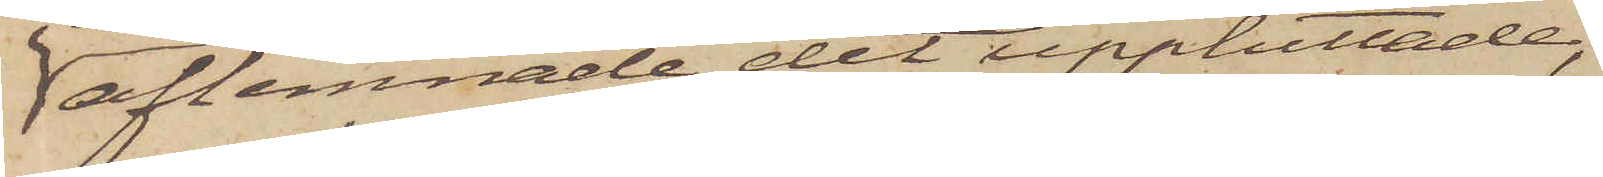aflemnade det upphittade,
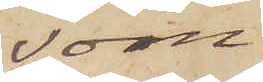som
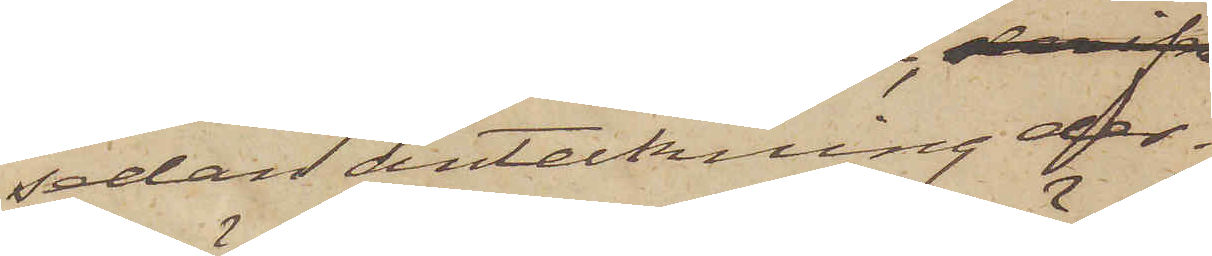sedan anteckning der¬
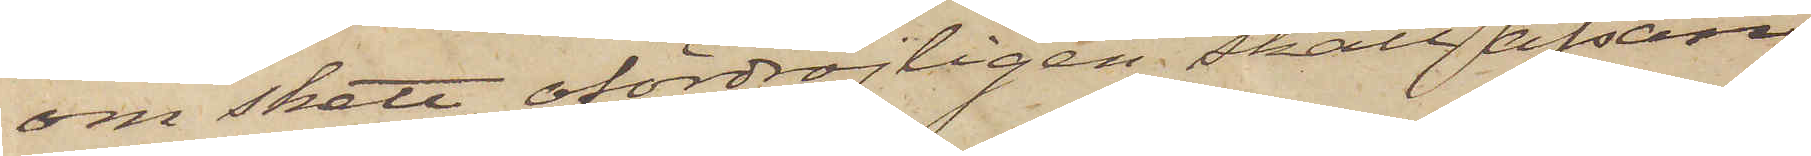om skett ofördröjligen skall afsän¬
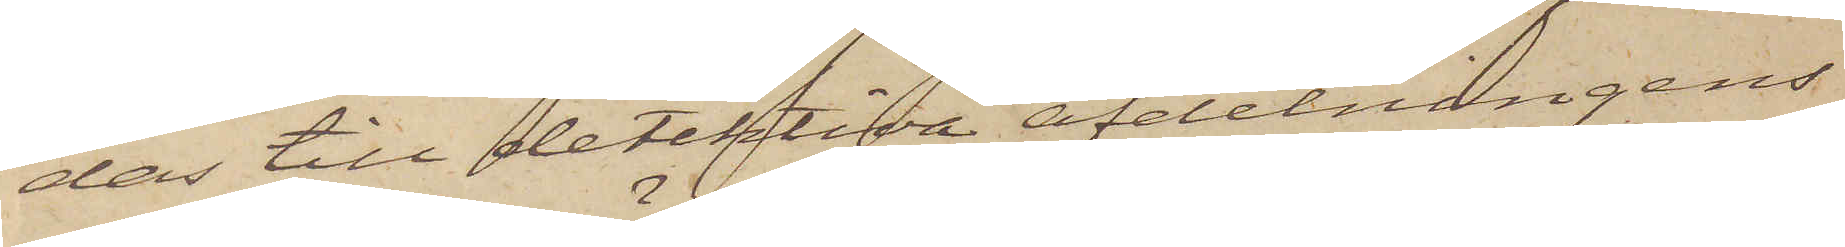das till detektiva afdelningens
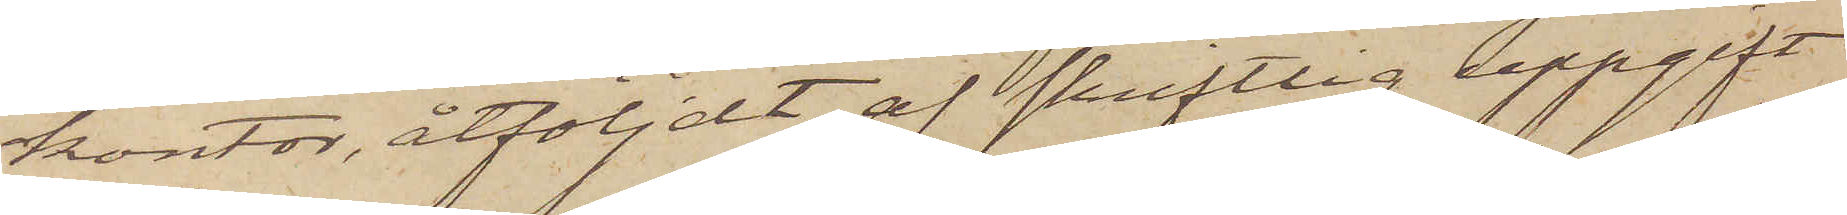kontor, åtföljdt af skriftlig uppgift
